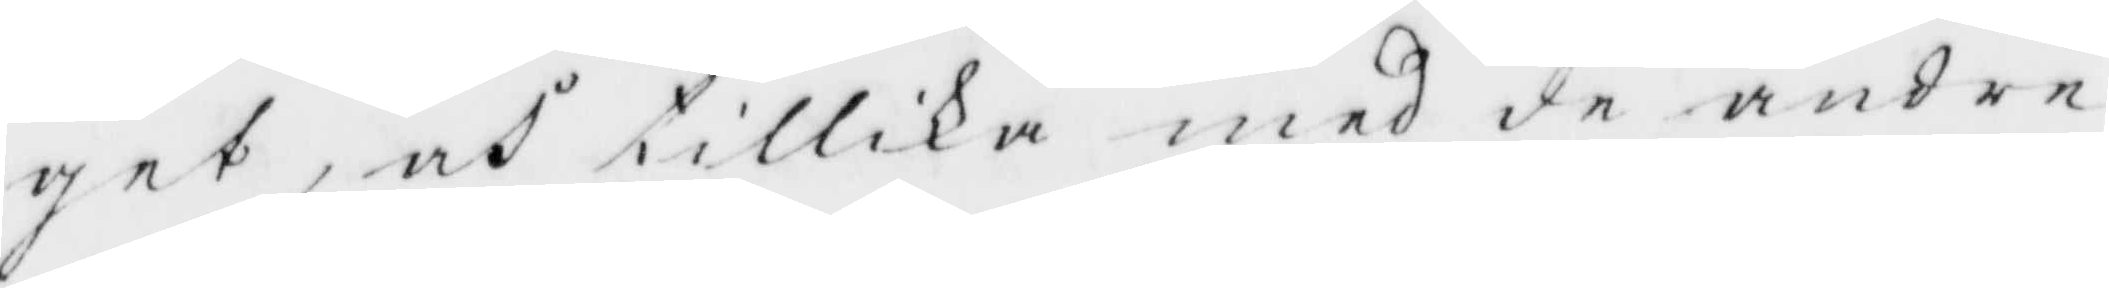get, och tillika med de andre
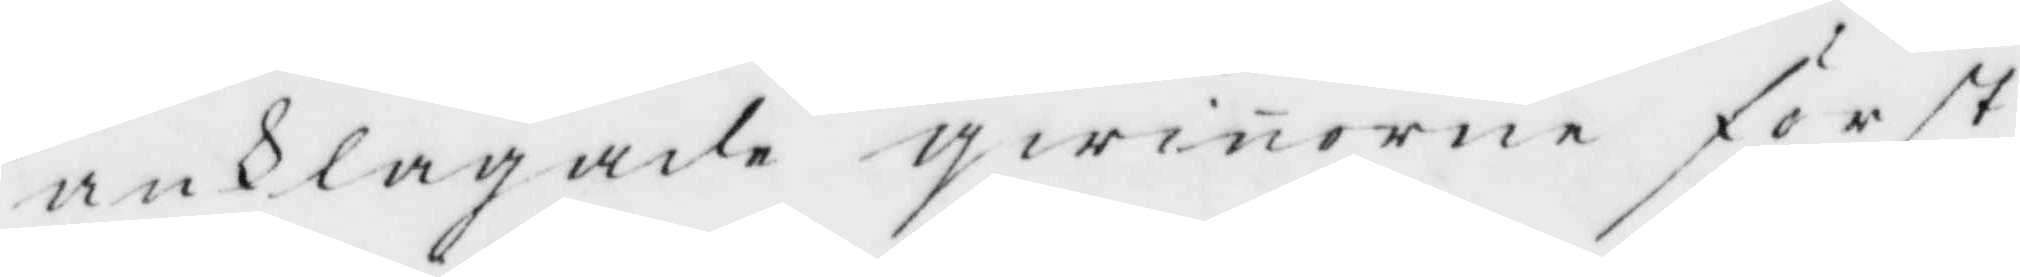anklagade qwinnorne först
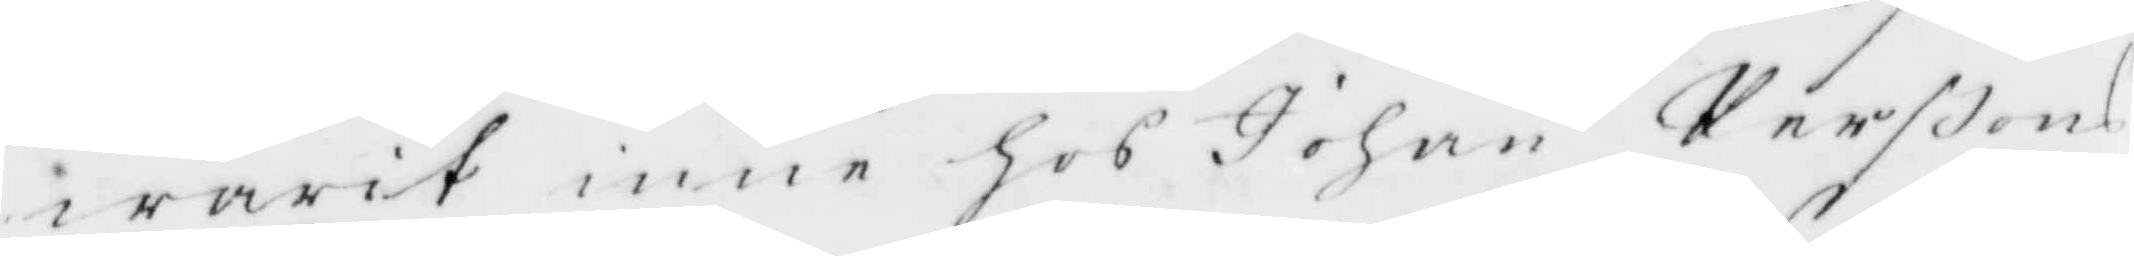warit inne hos Johan Perßons
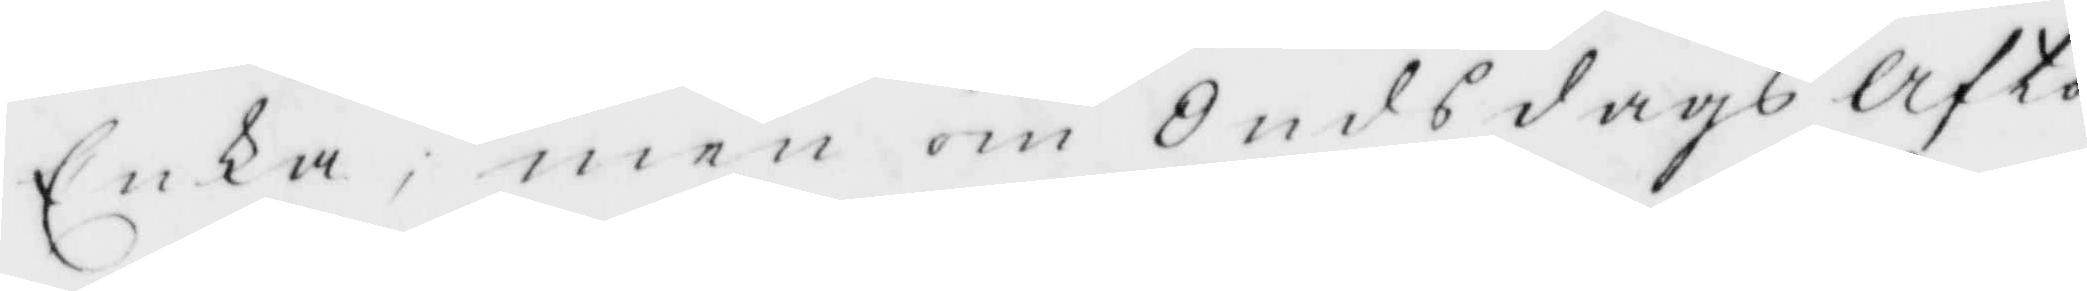Enka, men om OnsdagsAfto¬
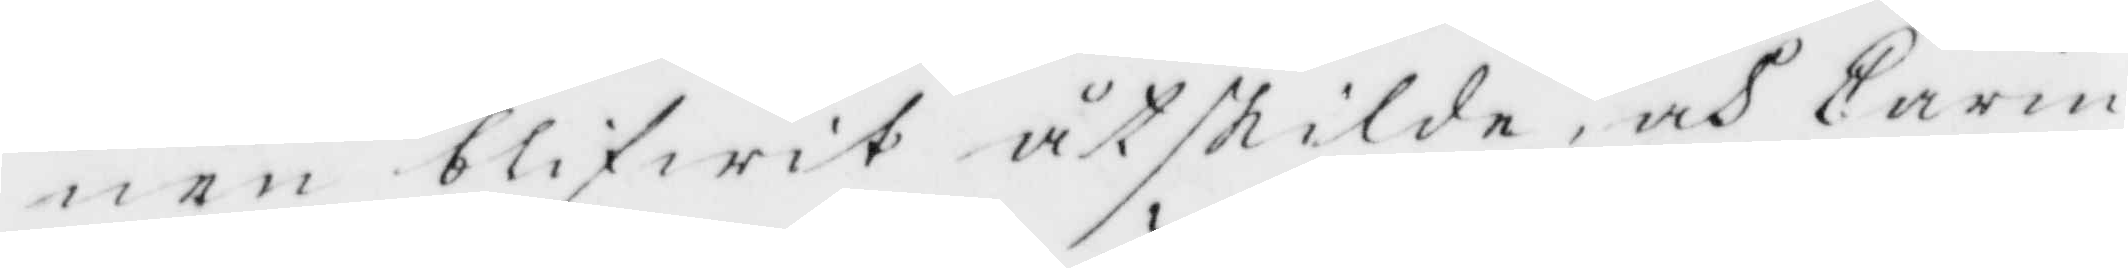nen blifwit åtskilda, och Carin
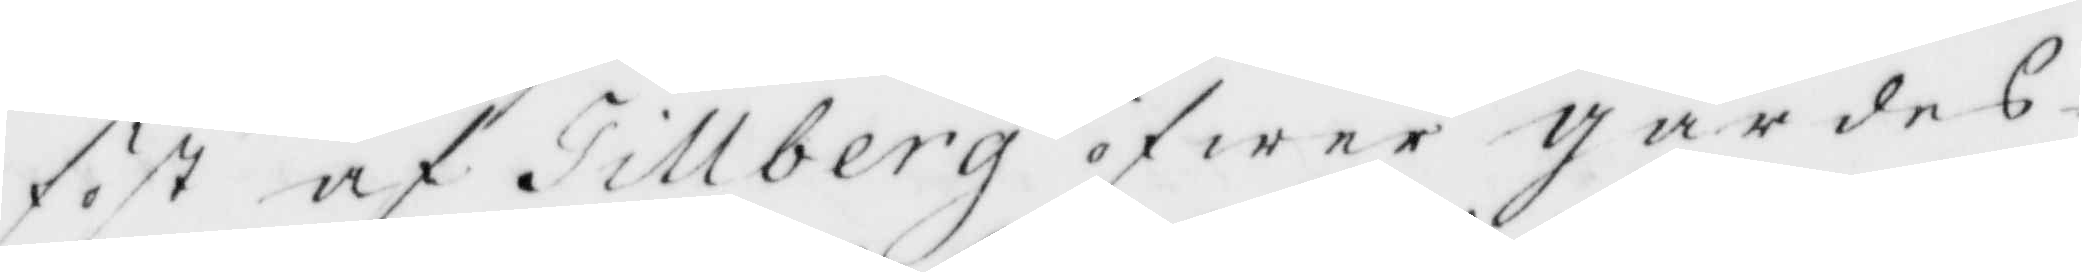föst af Tillberg öfwer Gärdes¬
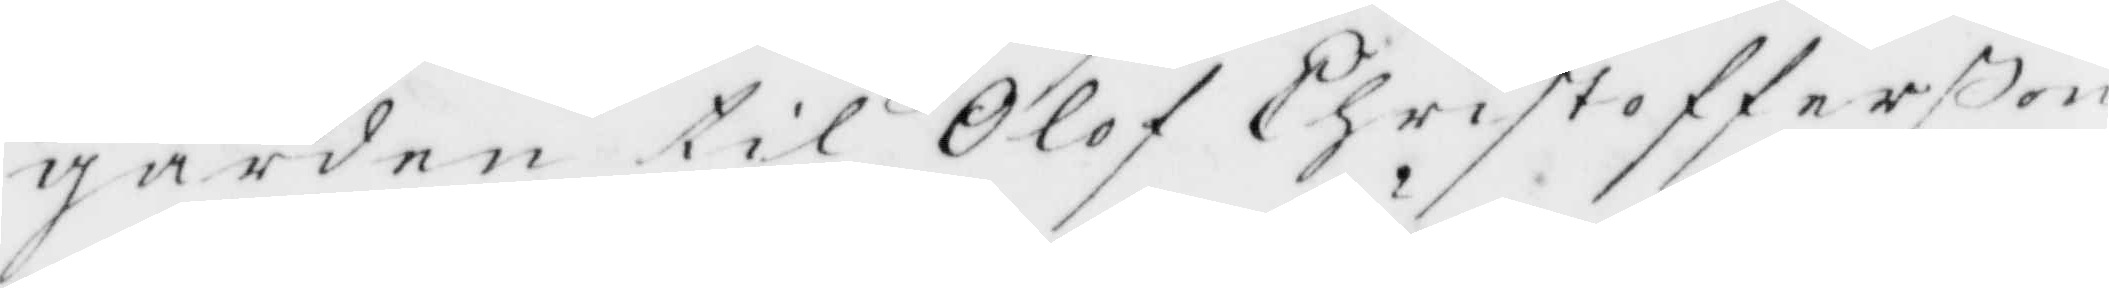gården til Olof Chrisofferßon
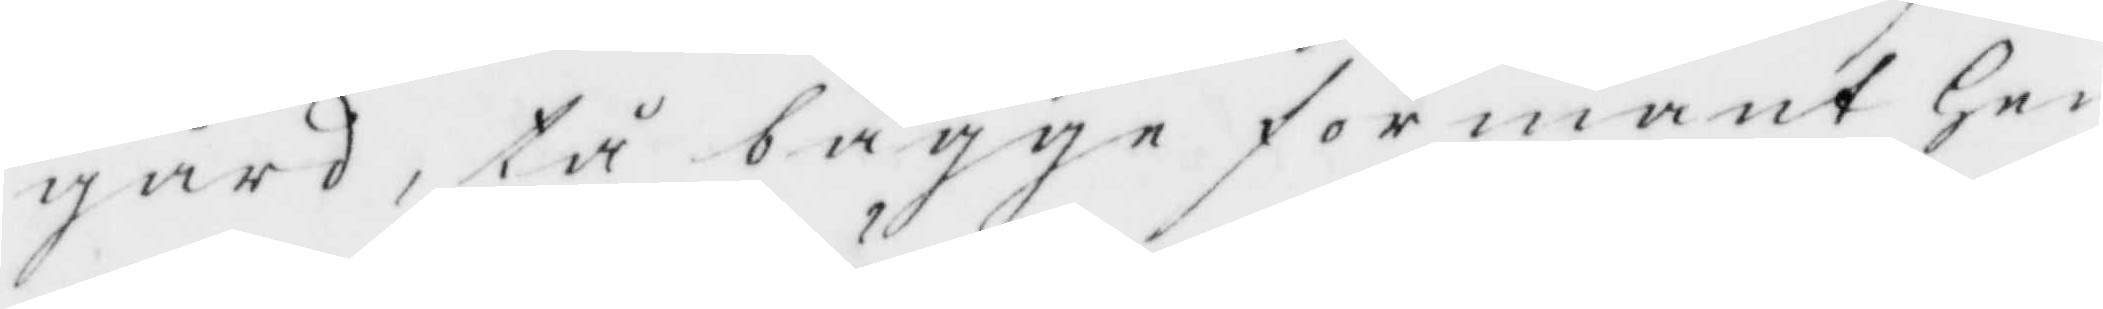gård, tå bägge förmant Hen¬
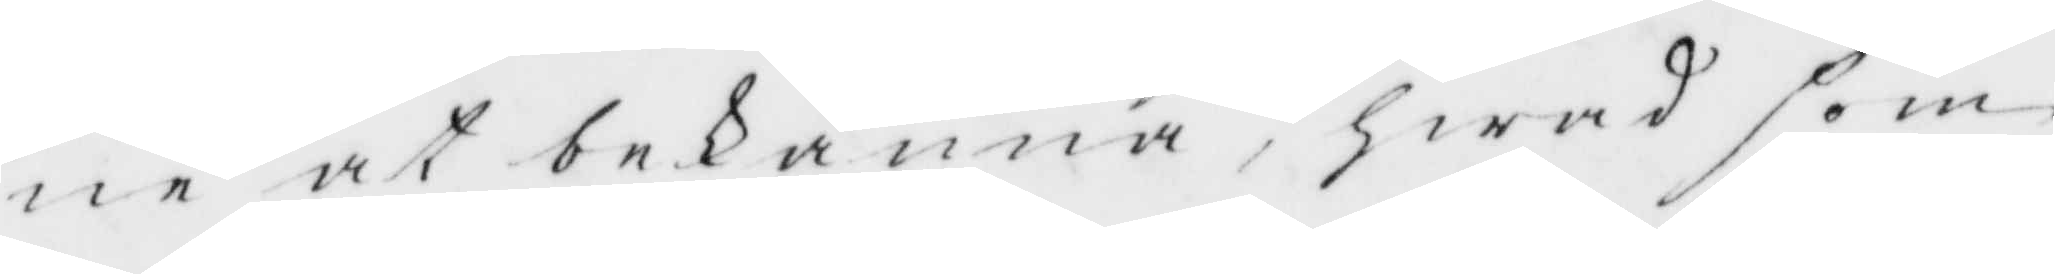ne at bekänna, hwad som
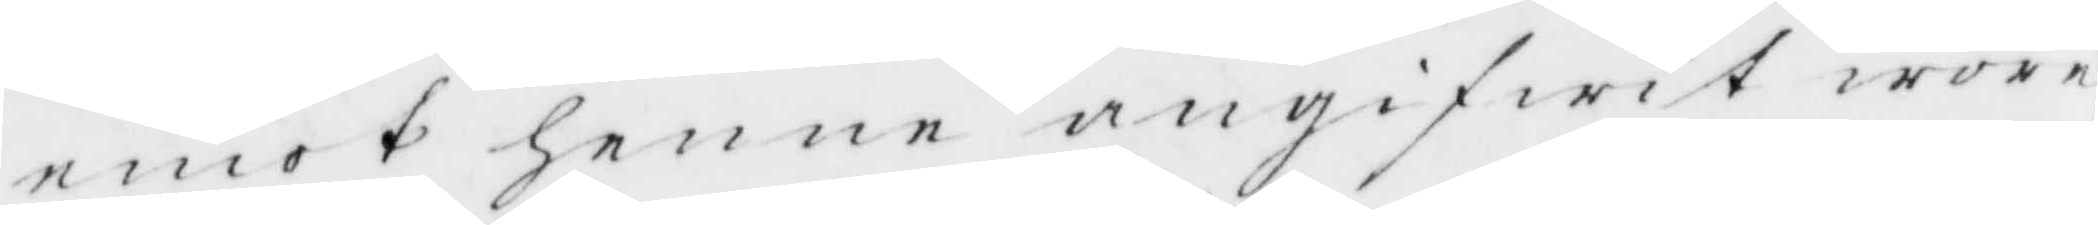emot henne angifwit wore
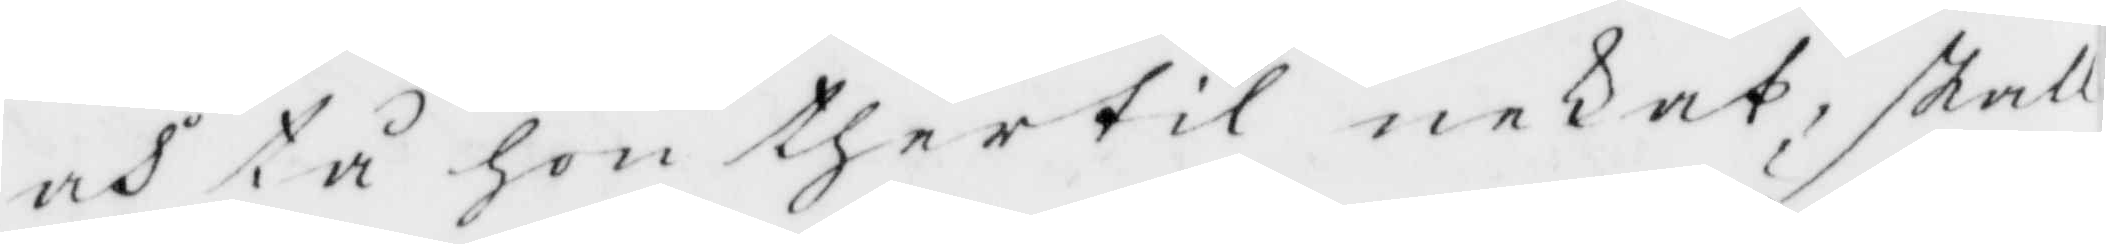och tå hon dhertil nekat, skall
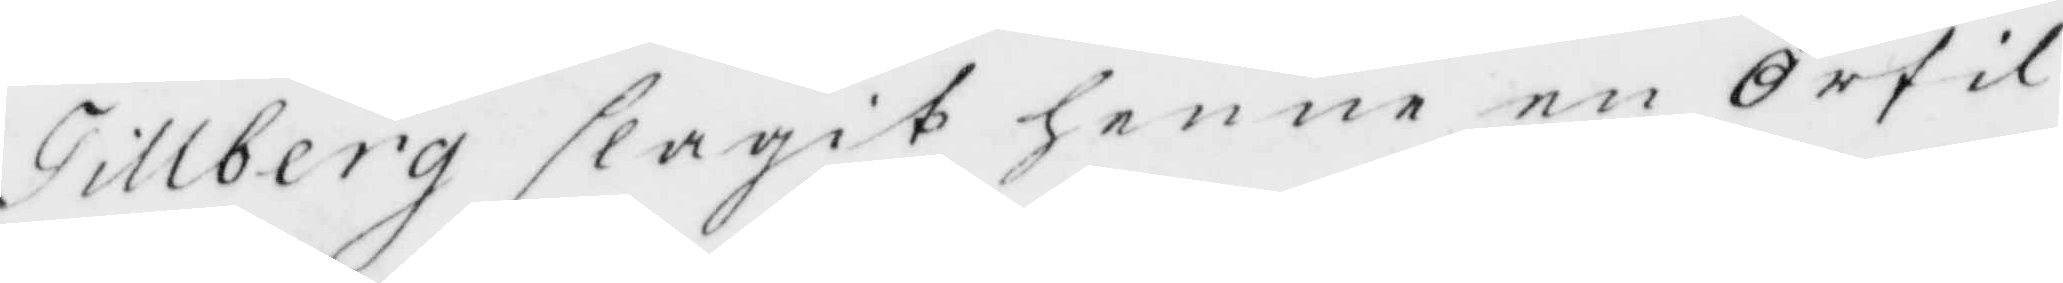Tillberh slagit henne en Örfil,
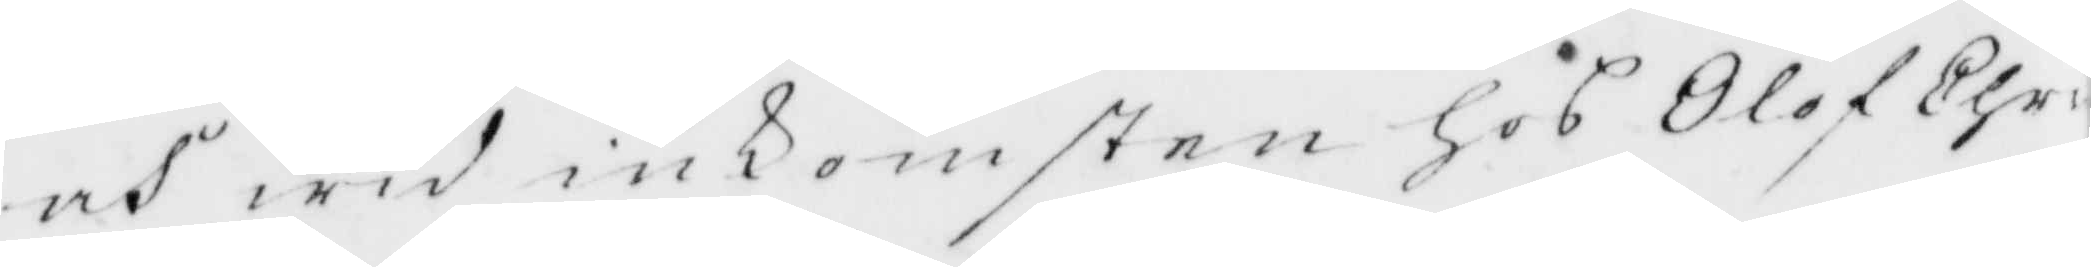och wid inkomsten hos Olof Chri¬
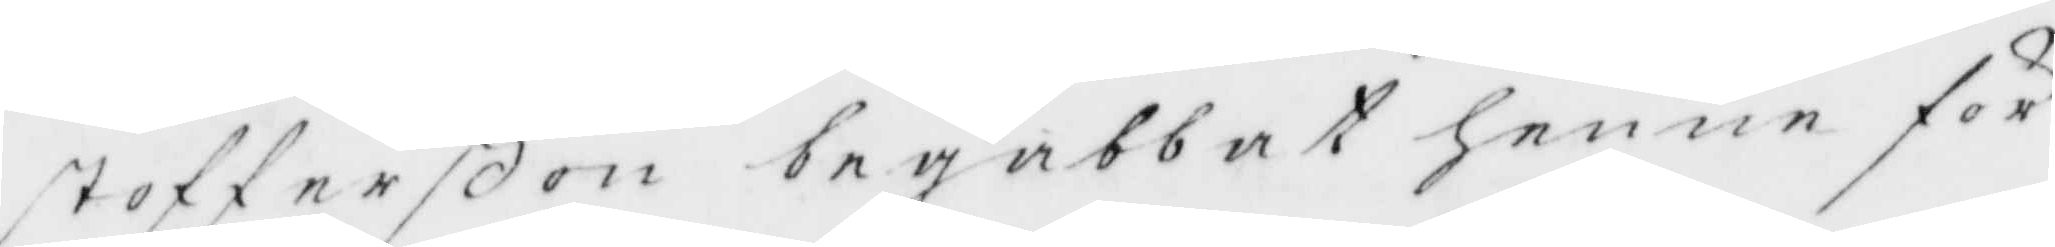stofferßon begabbat henne för
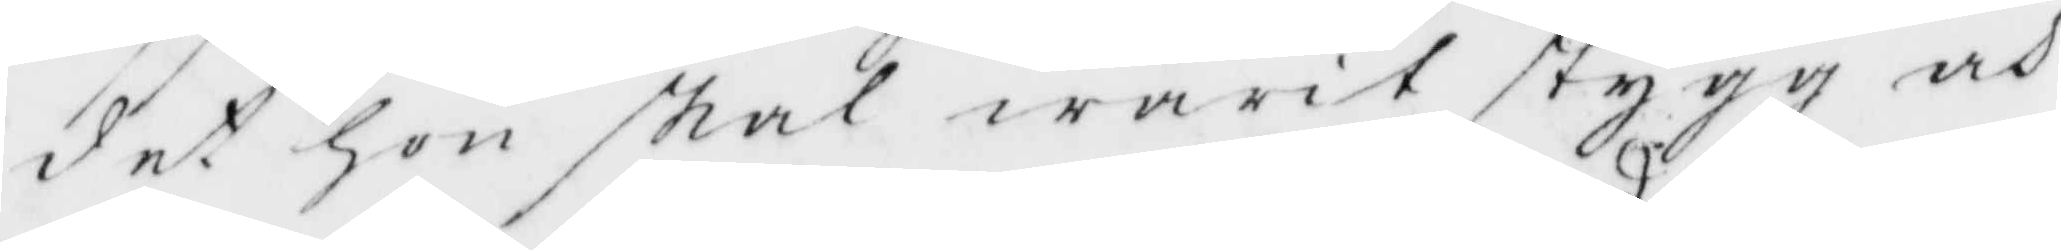det hon skal warit stygg och
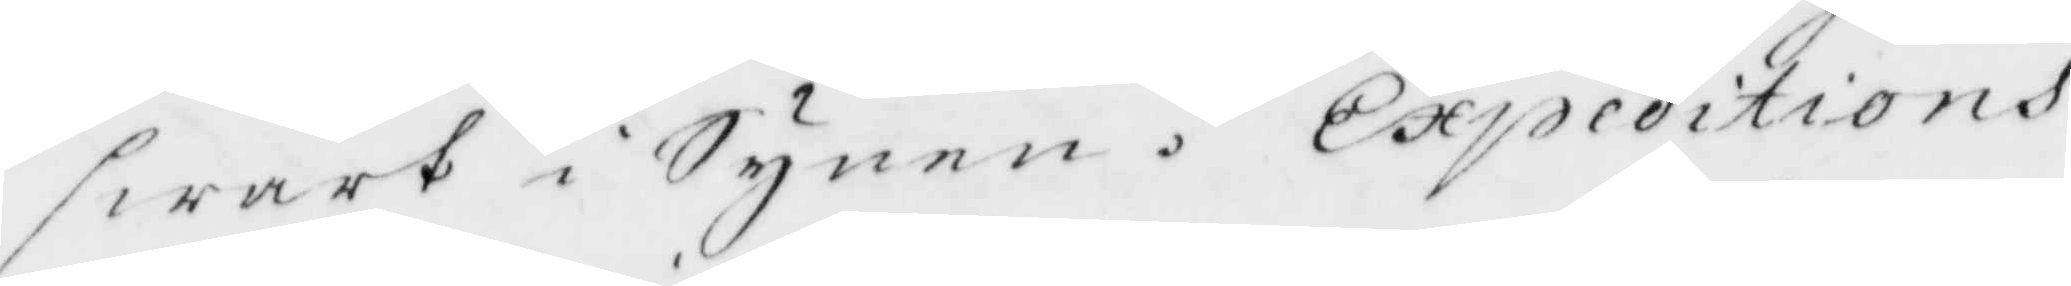swart i Synen. Expeditions
